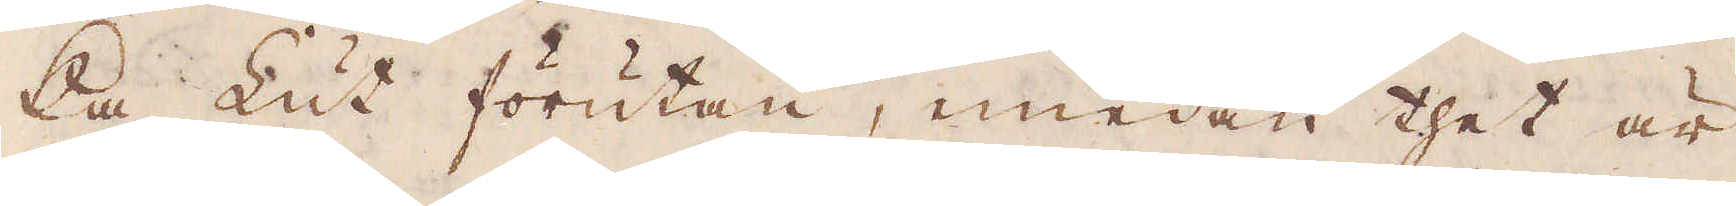ka Lut förutan, emedan thet är
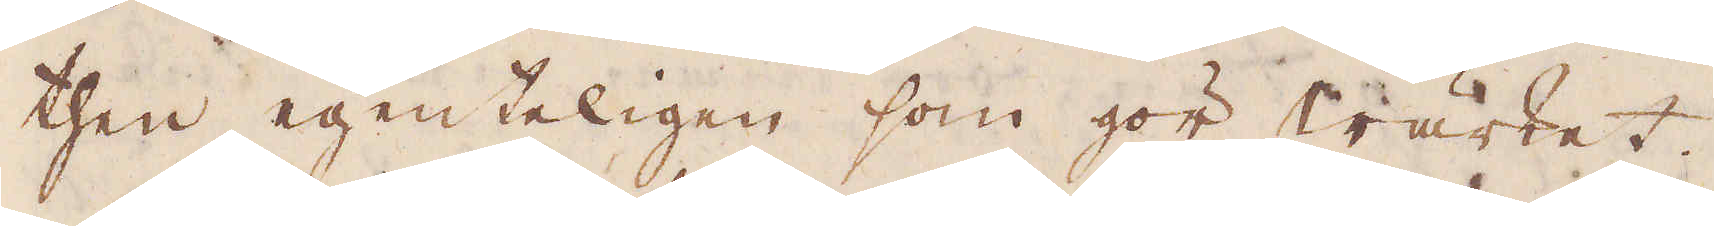then egenteligen som gör wärket.
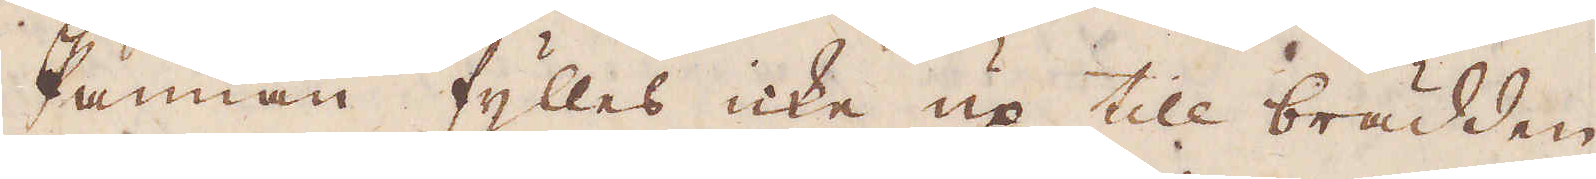Pannan fylles icke up till brädden,
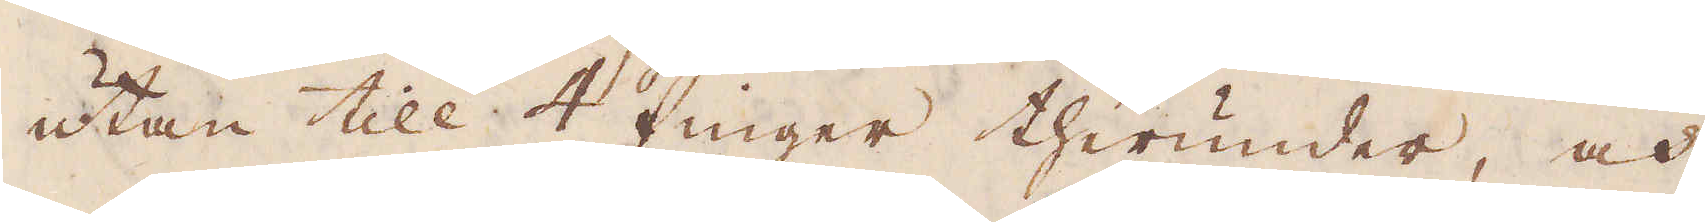utan till 4 finger therunder, och
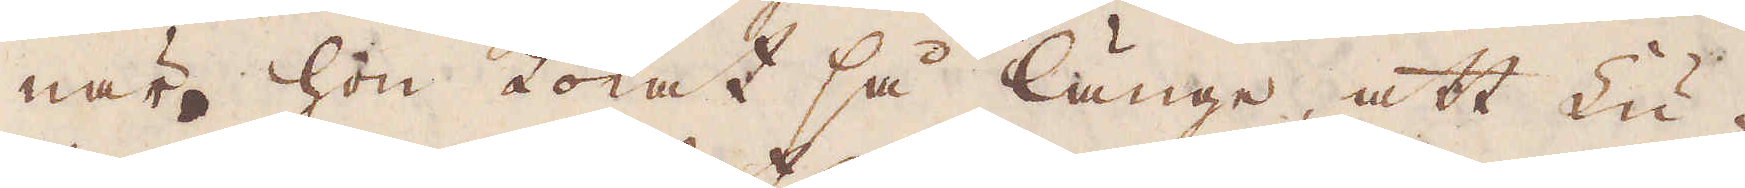när hon kokat så länge, att Lu-
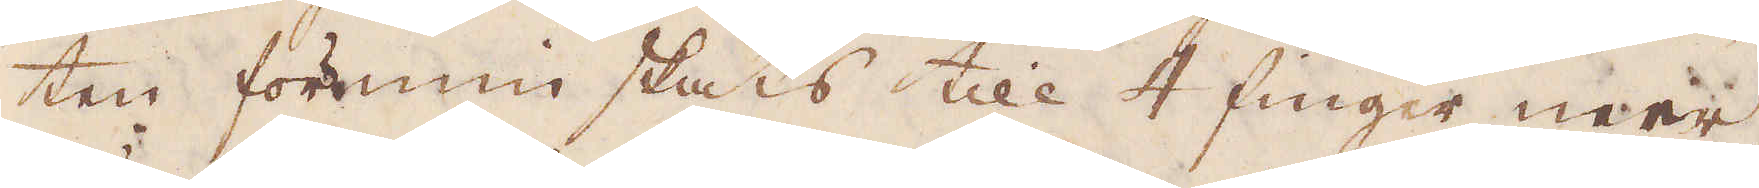ten förminskats till 4 finger mer,
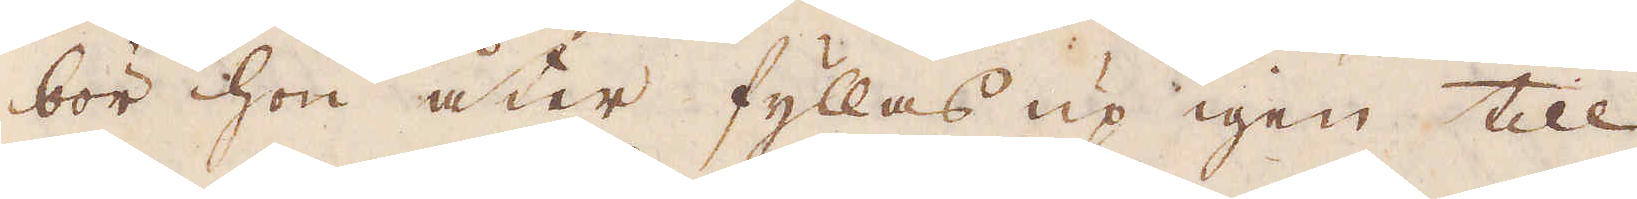bör hon åter fyllas up igen till
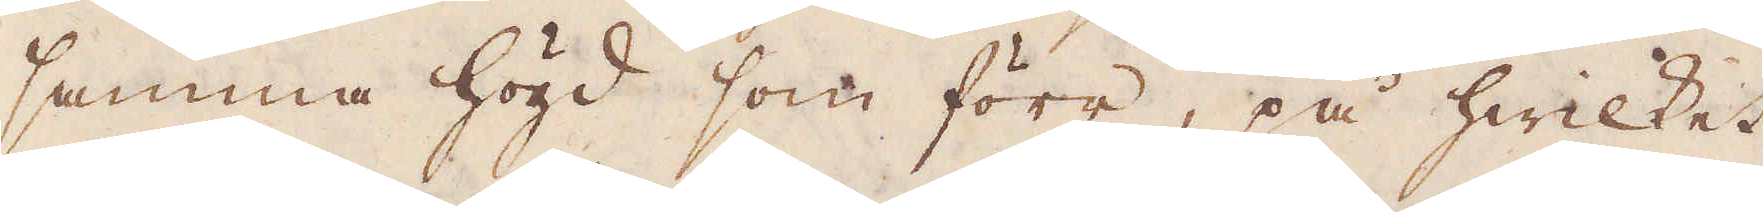samma högd som förr, på hwilket
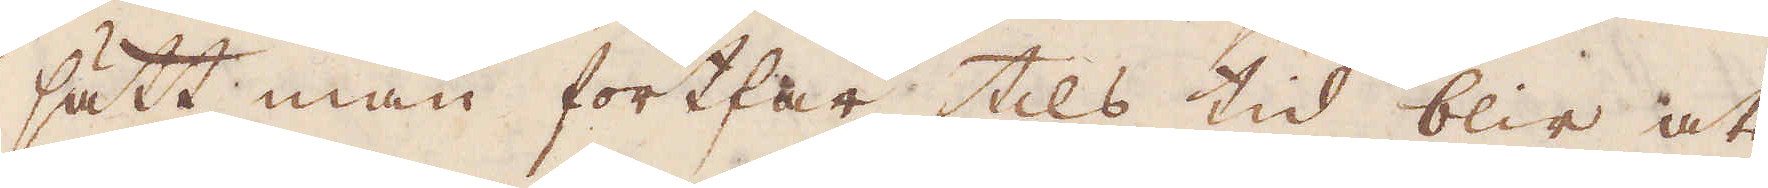sätt man fortfar tils tid blir att
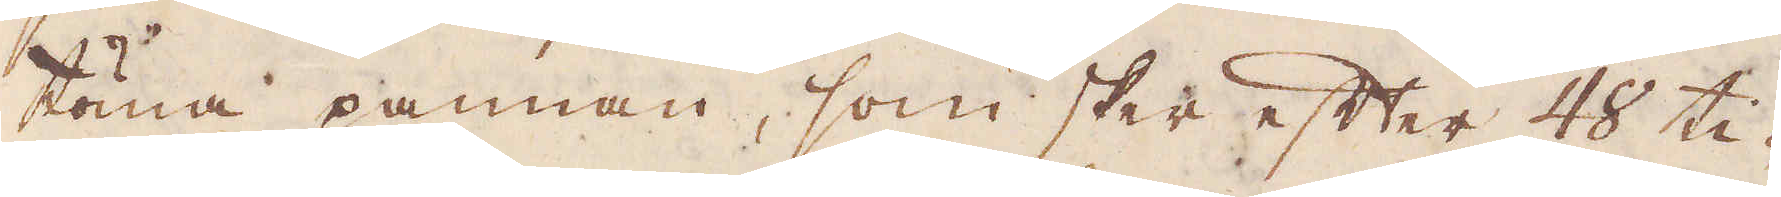töma pannan, som sker efter 48 ti-
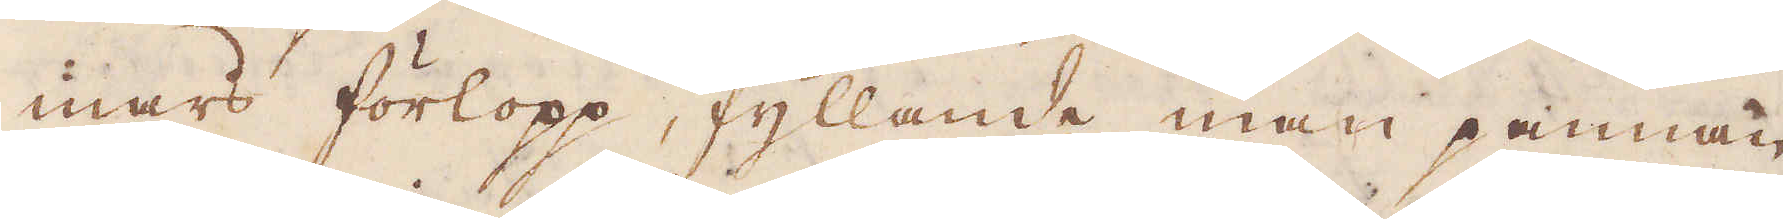mars förlopp, fyllande man pannan
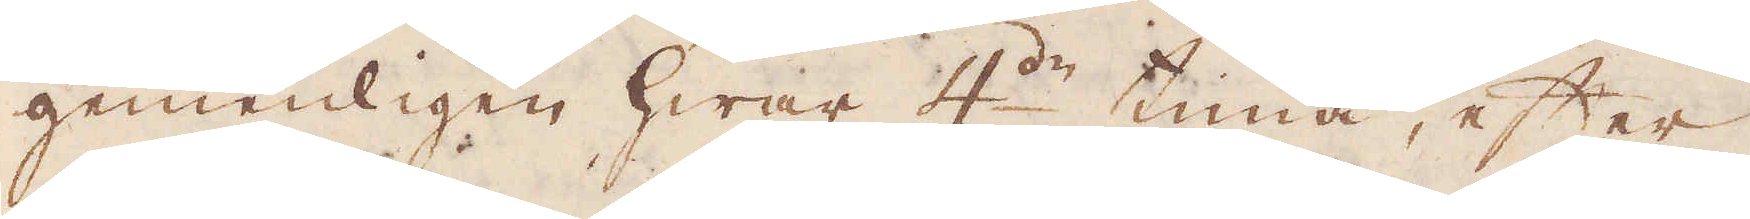gemenligen hwar 4:de tima, efter
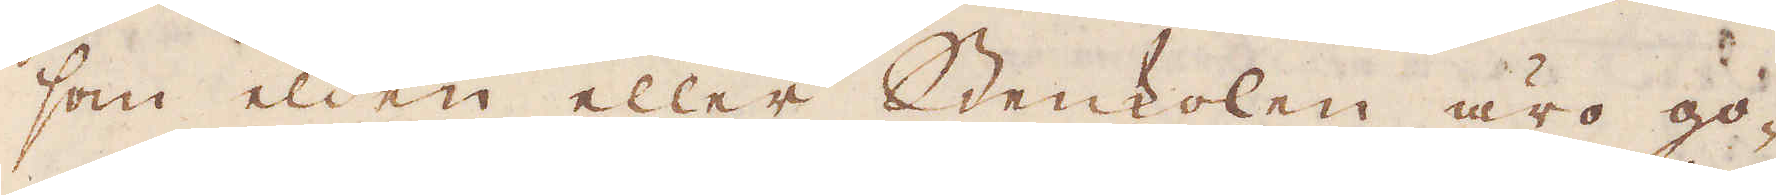som elden eller Stenkolen äro go-
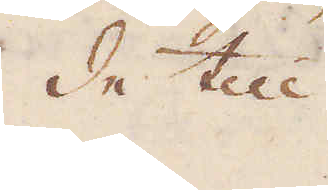de till
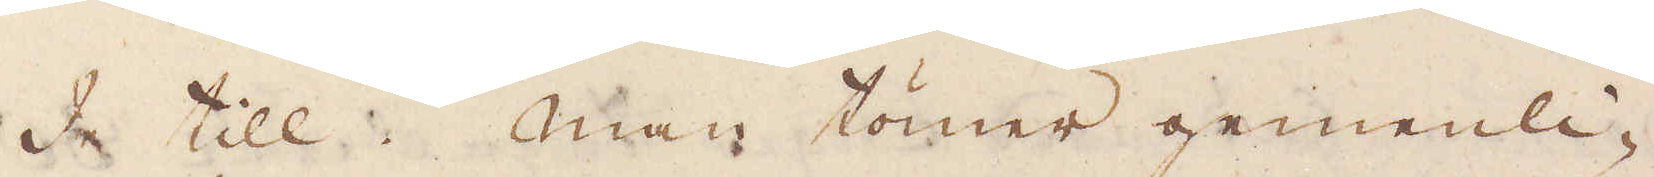de till. Man tömer gemenli-
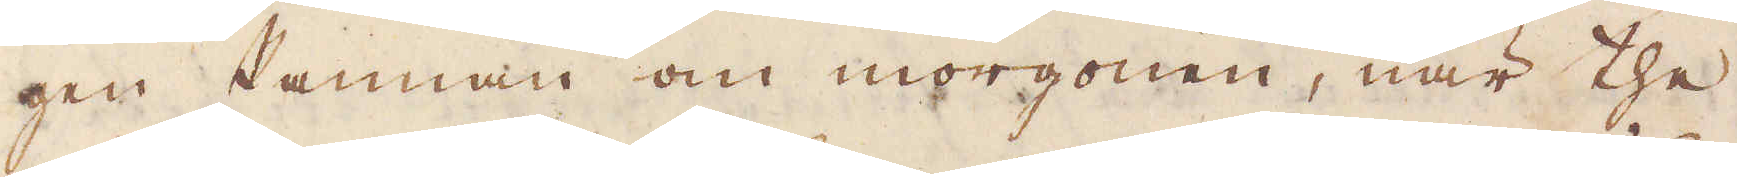gen Pannan om morgonen, när the
